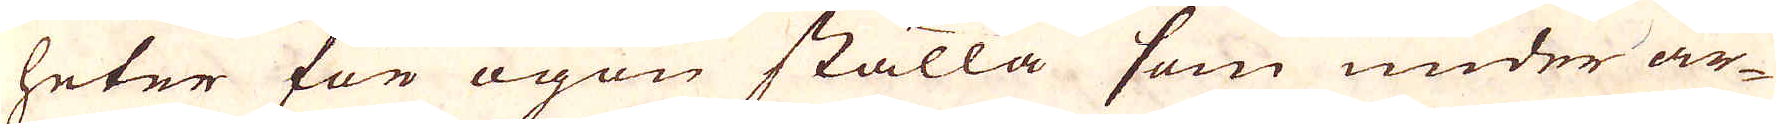heter för ögon ställa som under ar-
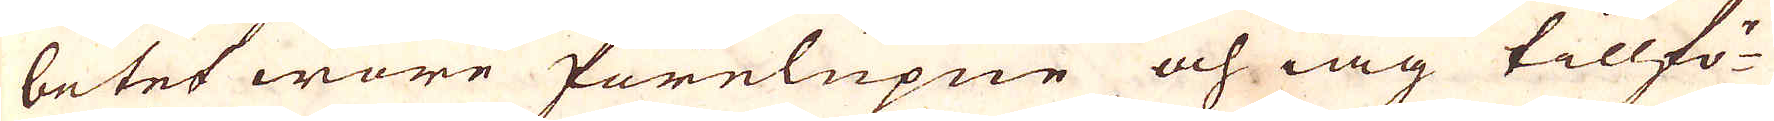betet wore förelupne och iag tillfö-
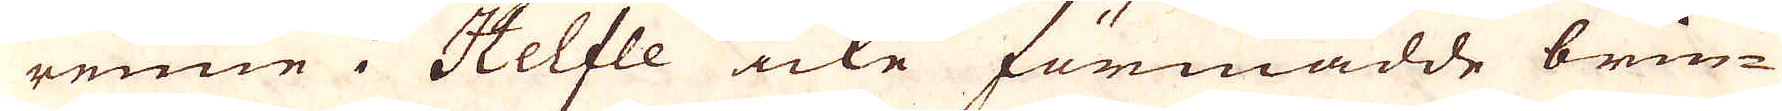rene i Helfle icke förmådde brin-
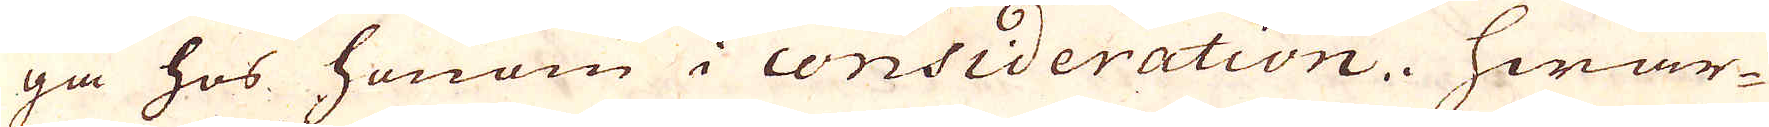ga hos honom i consideration. Hwar-
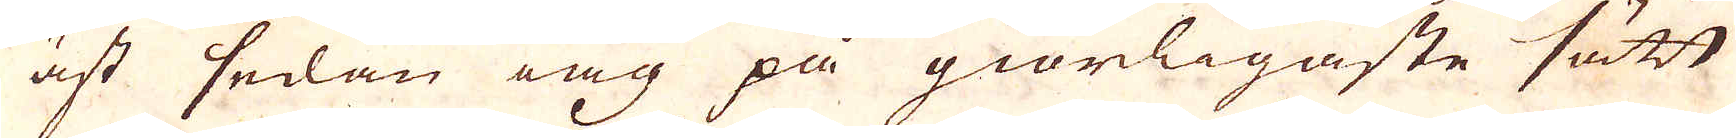äst sedan iag på giörligaste sätt
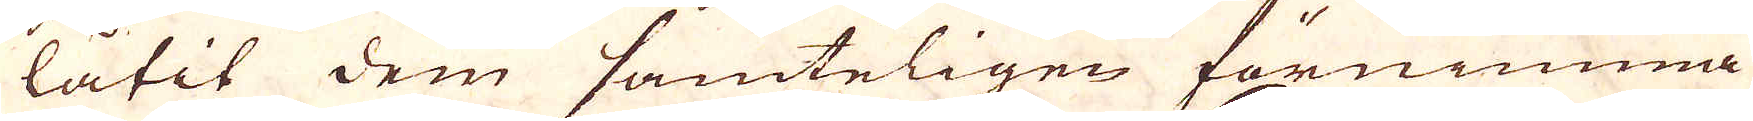låtit dem samteligen förnimma
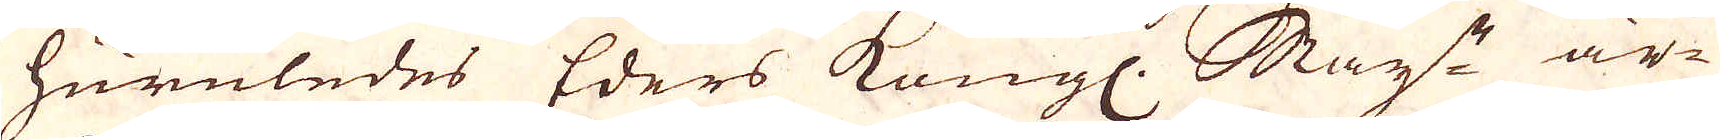huruledes Eders Kongl. Maij:t är-
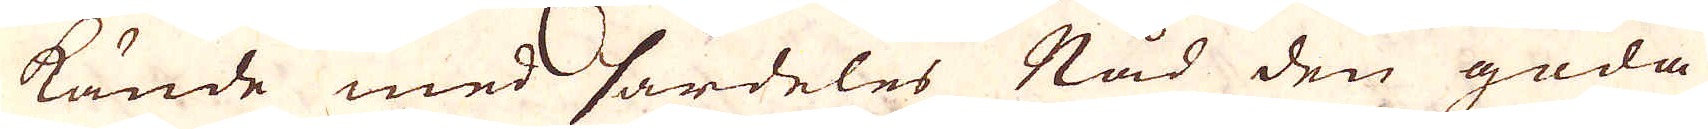kände med särdeles Nåd den goda
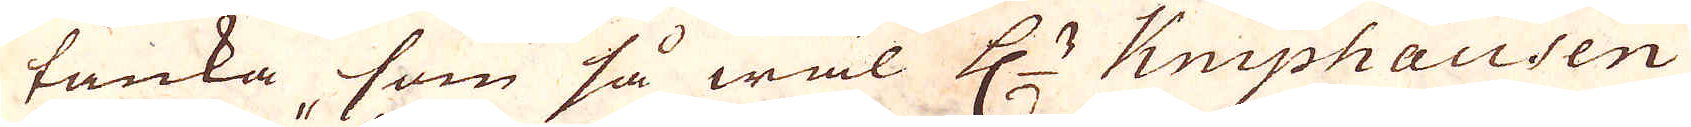tanka som så wäl H:r Kniphausen
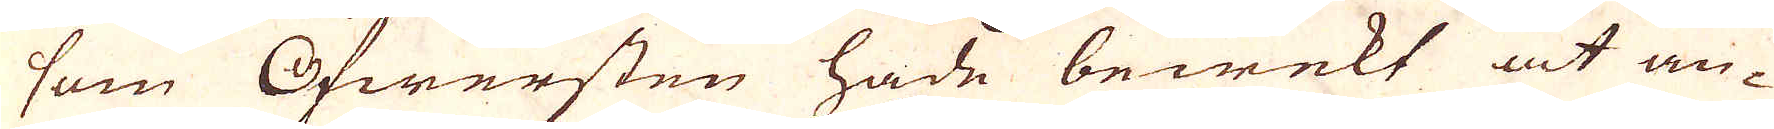som Öfwersten hade bewekt at an-
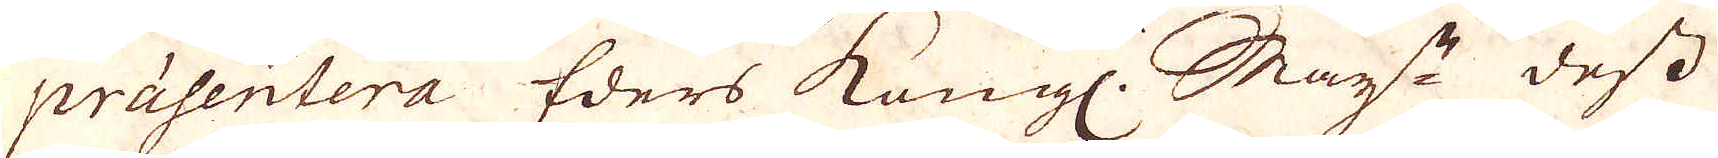präsentera Eders Kongl. Maij:t dess
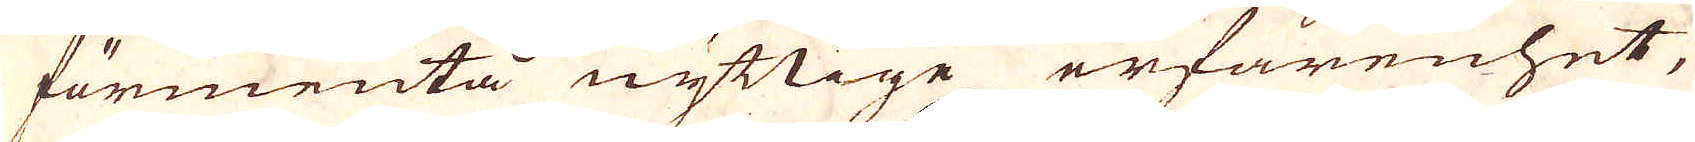förmenta nyttige erfarenhet,
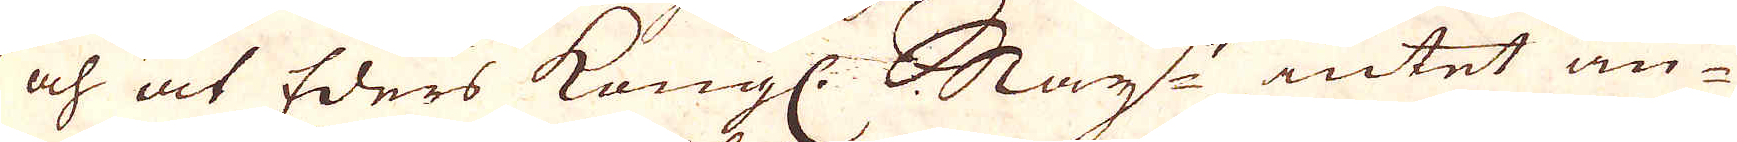och at Eders Kongl. Maij:t intet an-
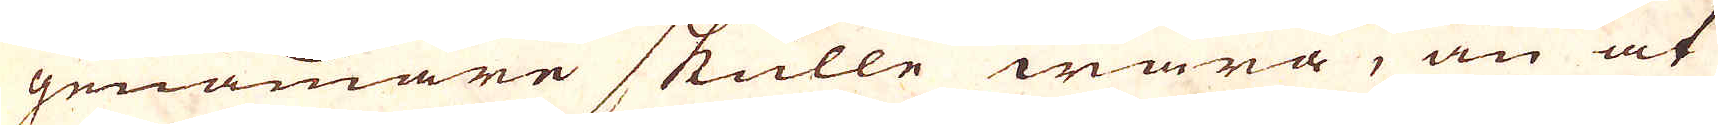genämare skulle wara, än at
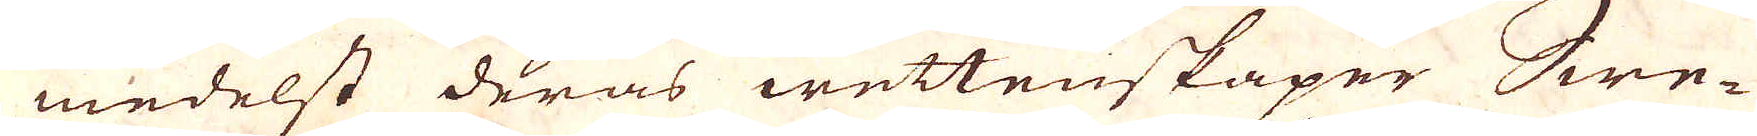medelst deras wettenskaper Swe-
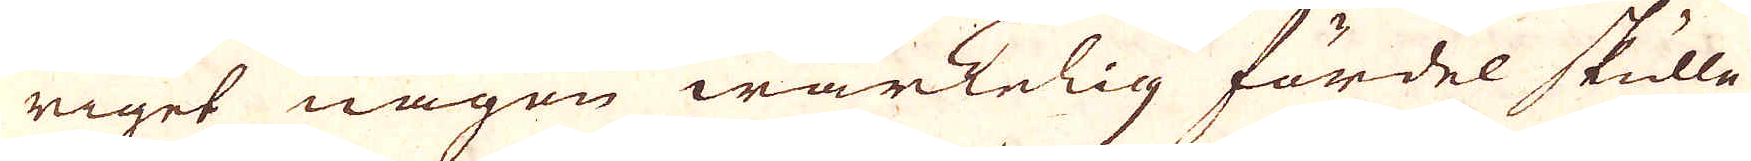riget någon wärkelig fördel skulle
